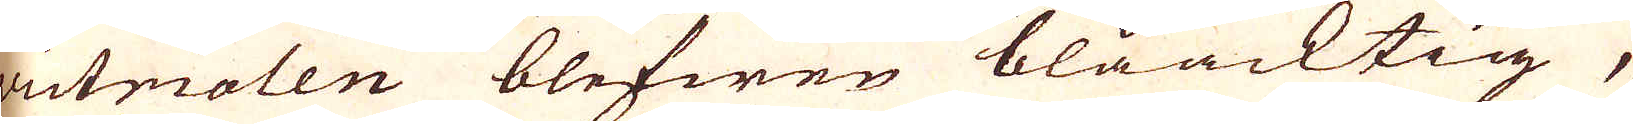victriolen blefwen blåacktig,
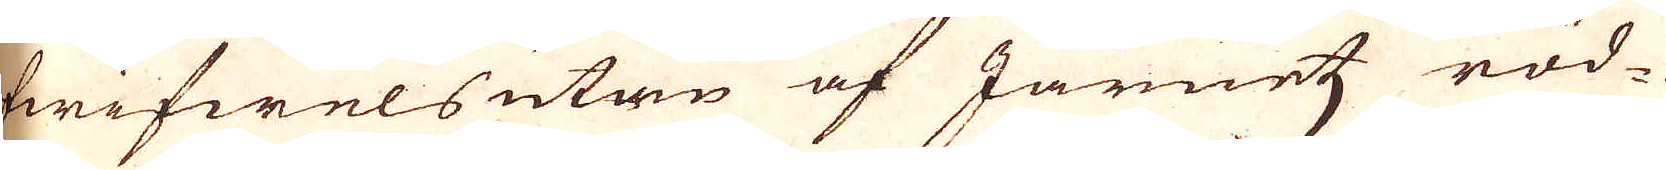twifwels utan af Järnetz röd-
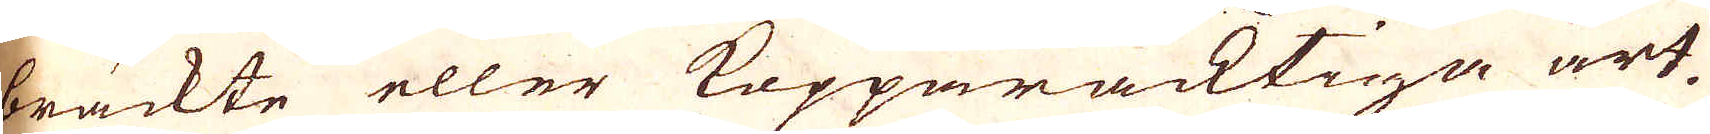bräckte eller Kopparacktiga art,
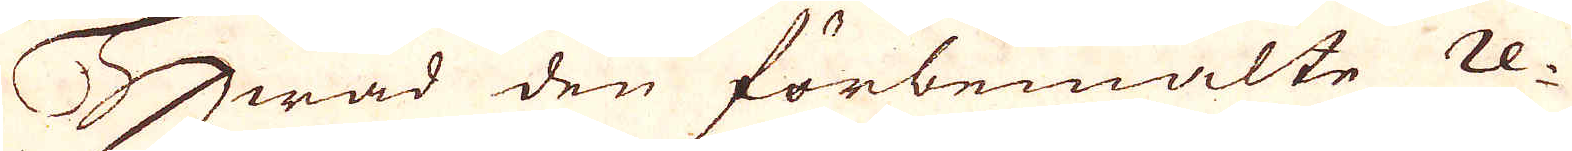Hwad den förbemälte re-
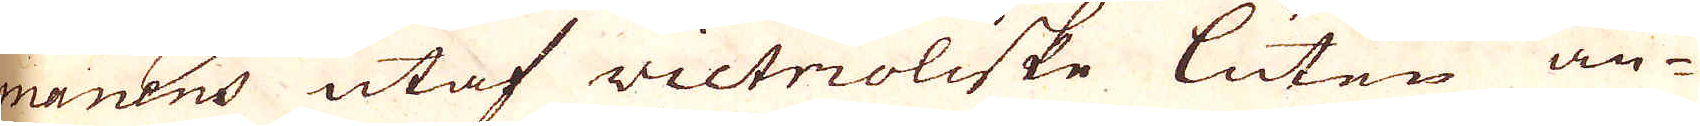mainens utaf victrioliske Luten an-
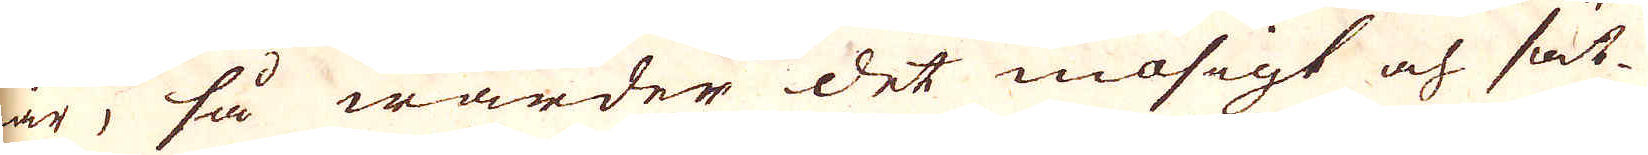går, så warder det mosigt och sät-
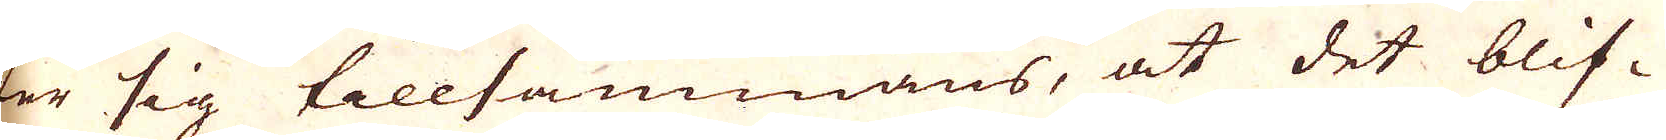ter sig tillsammans, at det blif-
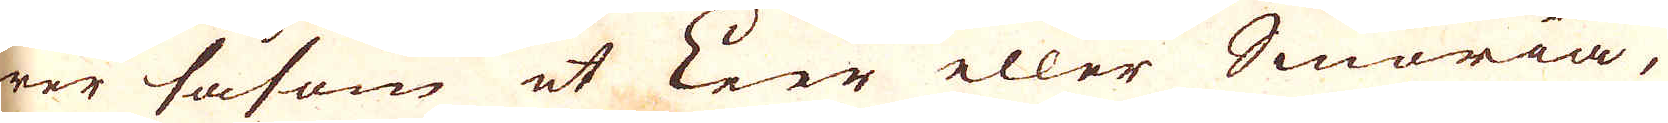wer såsom et Leer eller Smöria,
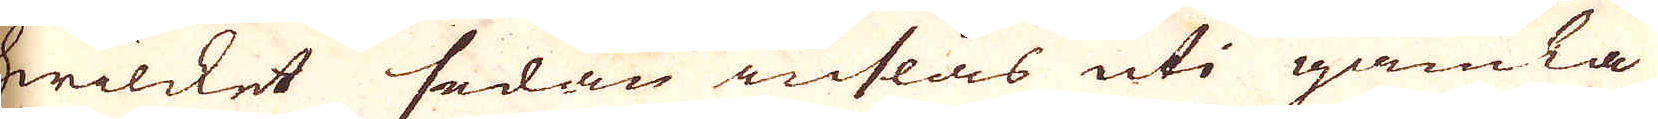hwilcket sedan inslås uti gamla
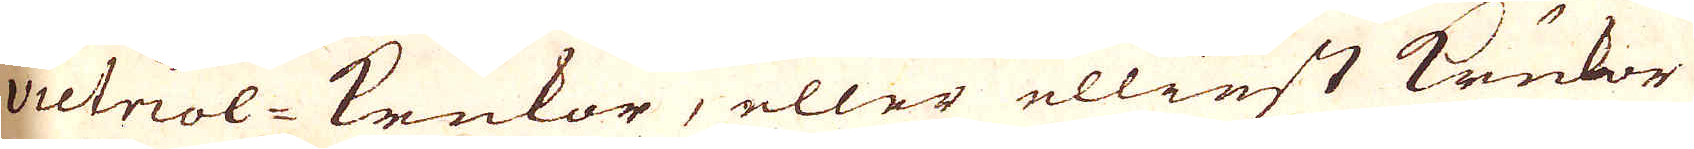victriol-krukor, eller elliest krukor
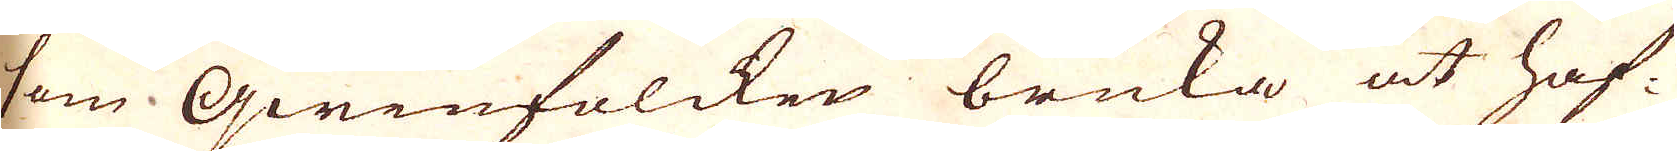som qwinfolcken bruka at haf-
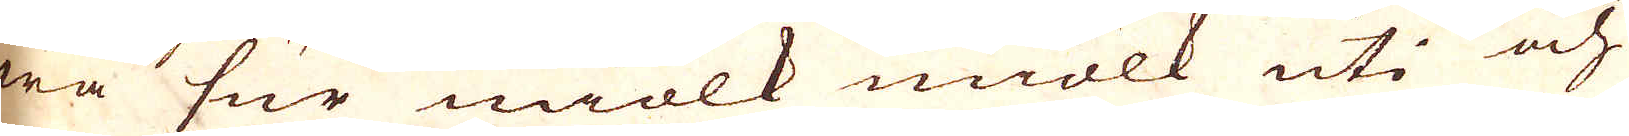wa sur miölk miölk uti och
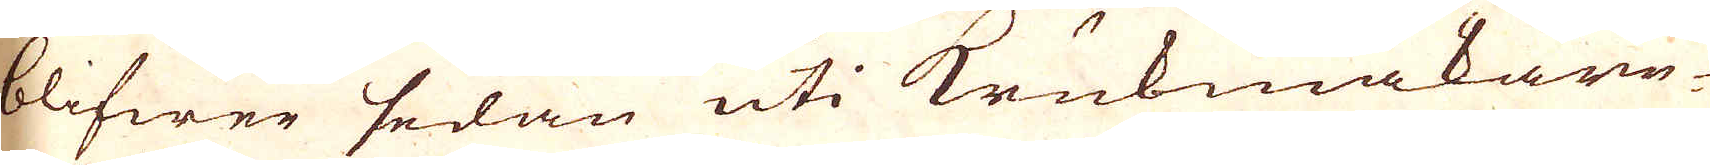blifwer sedan uti Krukmakare-
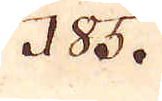185.
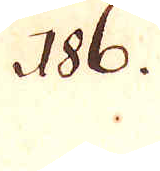286.
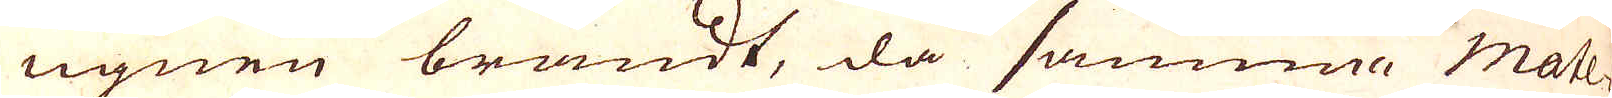ugnen brändt, då samma Mate-
